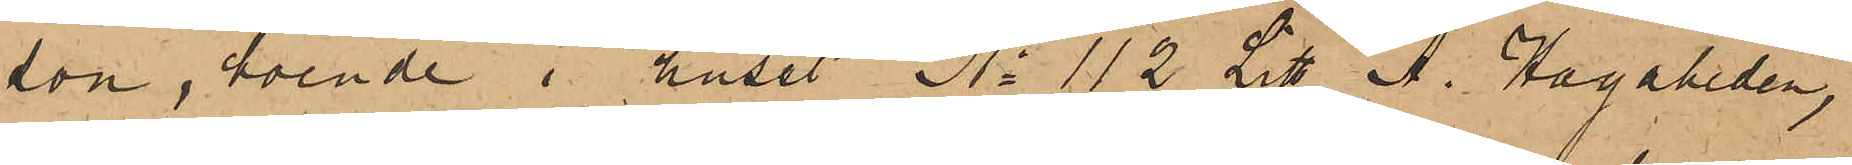son, boende i huset No 112 Litt A. Hagaheden,
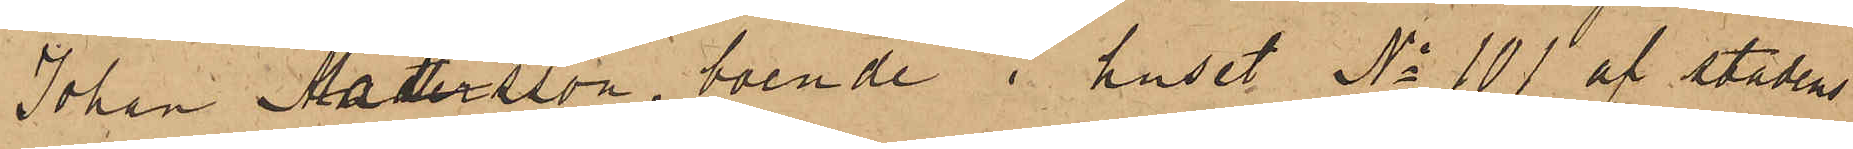Johan Mattsson, boende i huset No 101 af stadens
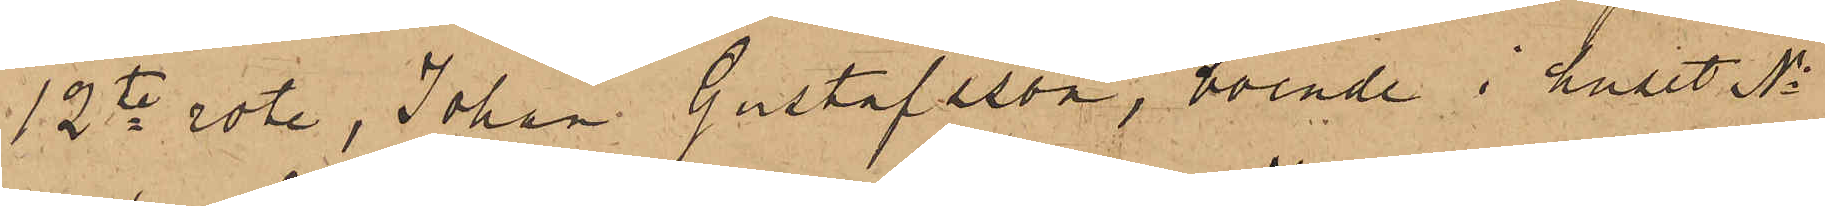12te rote, Johan Gustafsson, boende i huset No
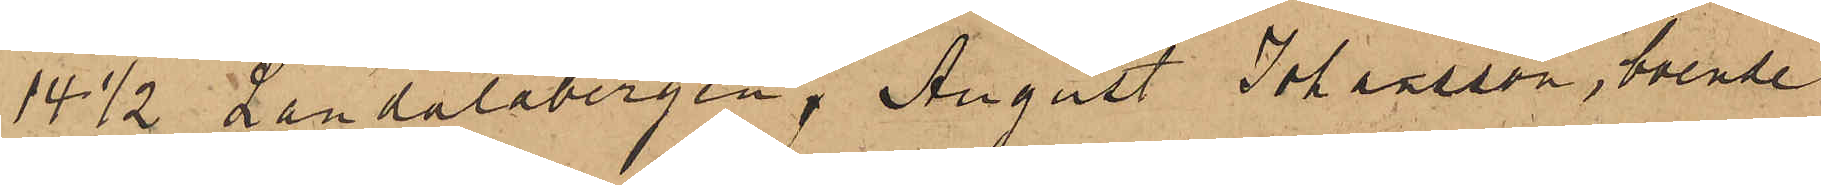14 1/2 Landalabergen, August Johansson, boende
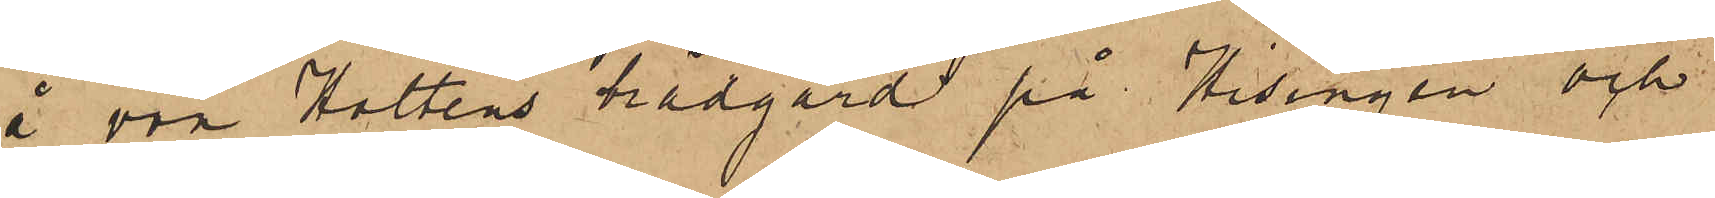å von Holtens trädgård på Hisingen och
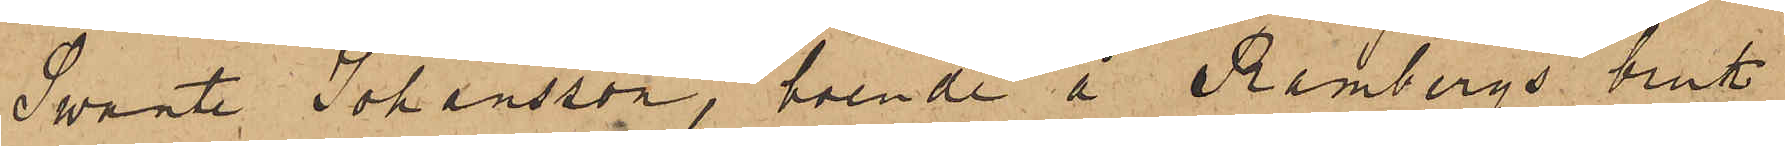Swante Johansson, boende å Rambergs bruk
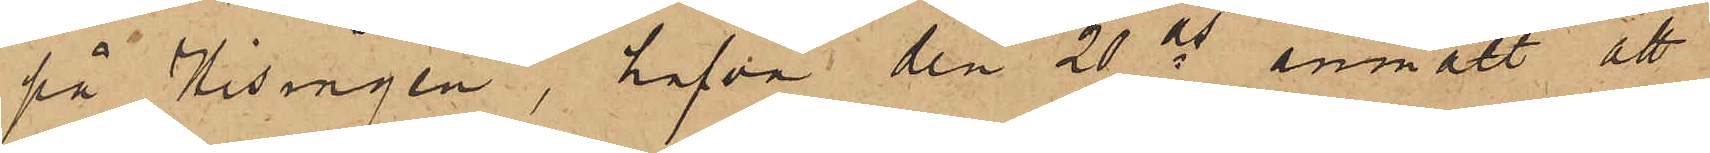på Hisingen, hafva den 20 ds anmält att
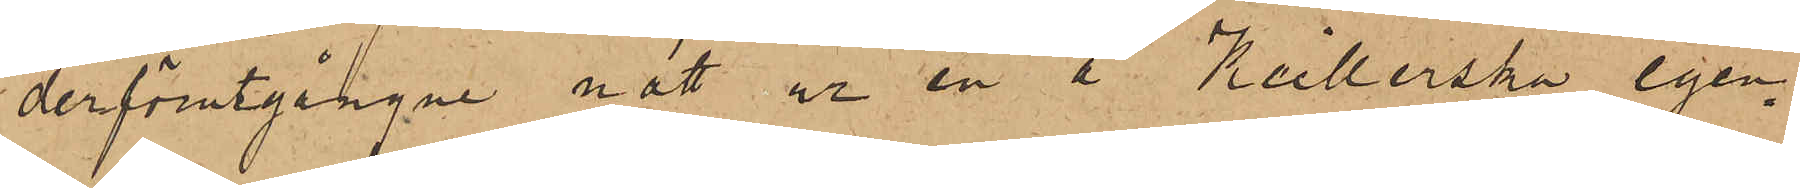derförutgångne natt ur en å Keillerska egen¬
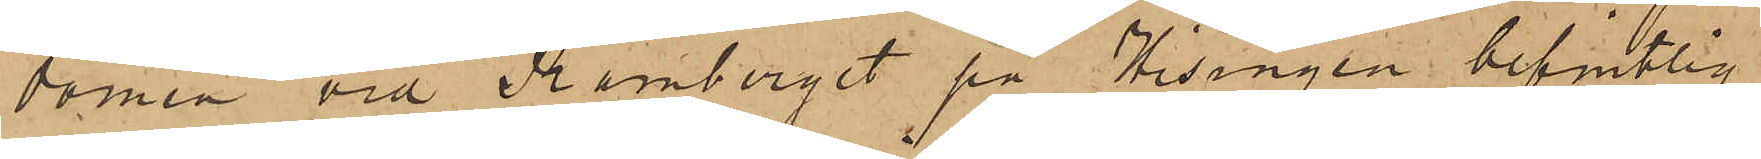domen vid Ramberget på Hisingen befintlig
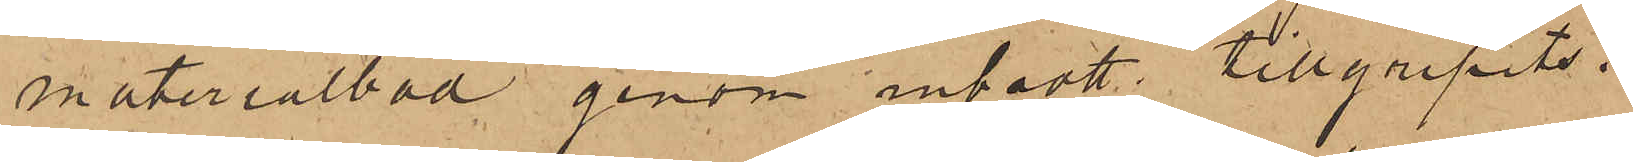materialbod genom inbrott tillgripits:
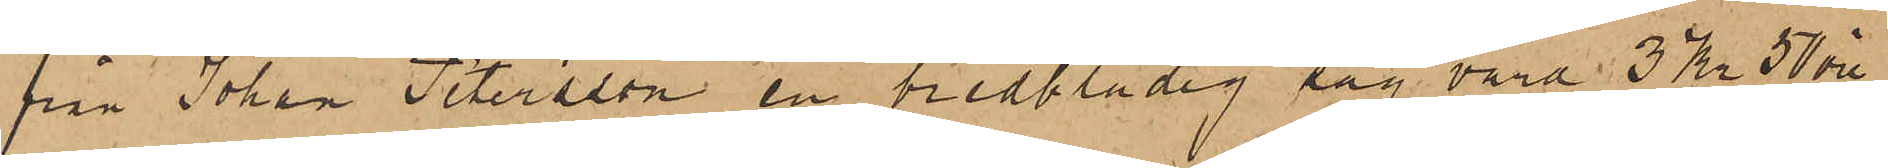från Johan Petersson en bredbladig såg värd 3 Kr 50 öre,
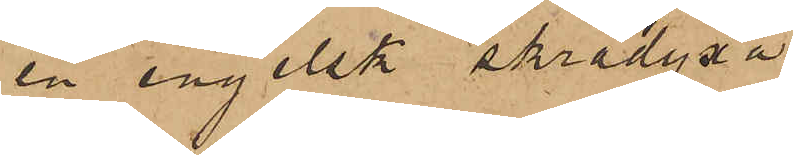en engelsk skrädyxa
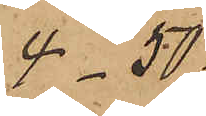4 - 50
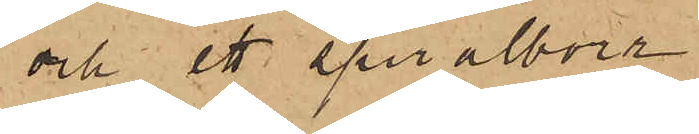och ett spiralborr
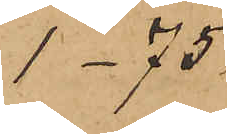1 - 75
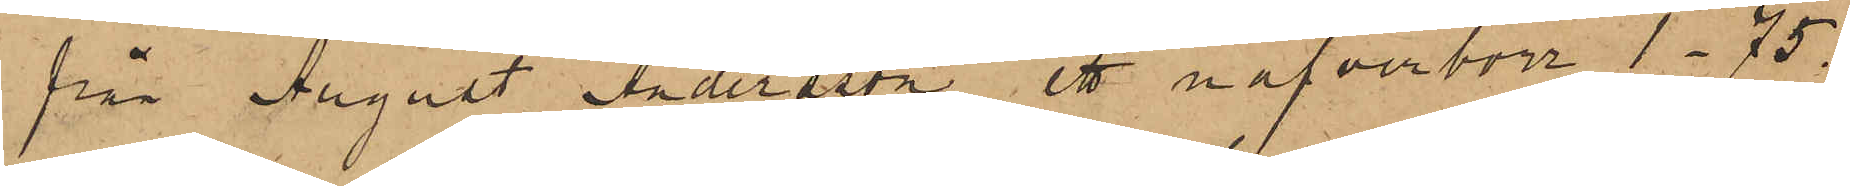från August Andersson ett nafverborr 1 - 75.
